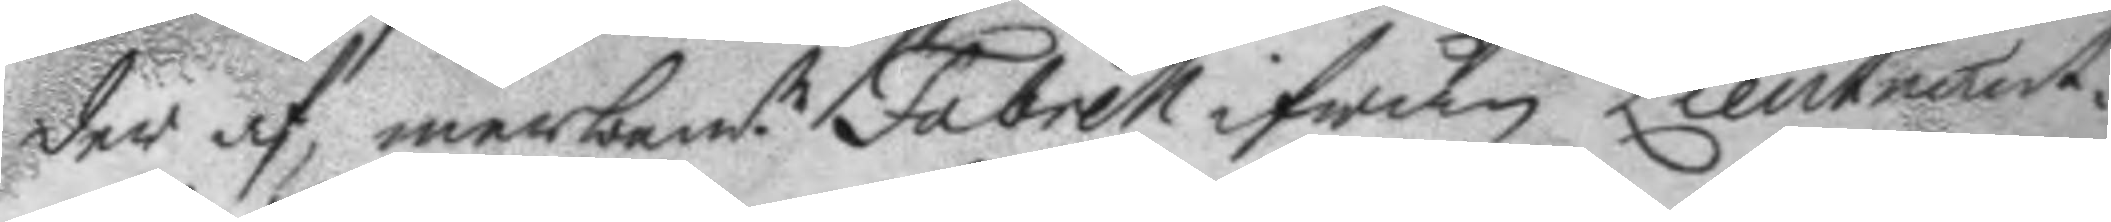der af, merbem.te Fabrell ifrån Lieutnant¬
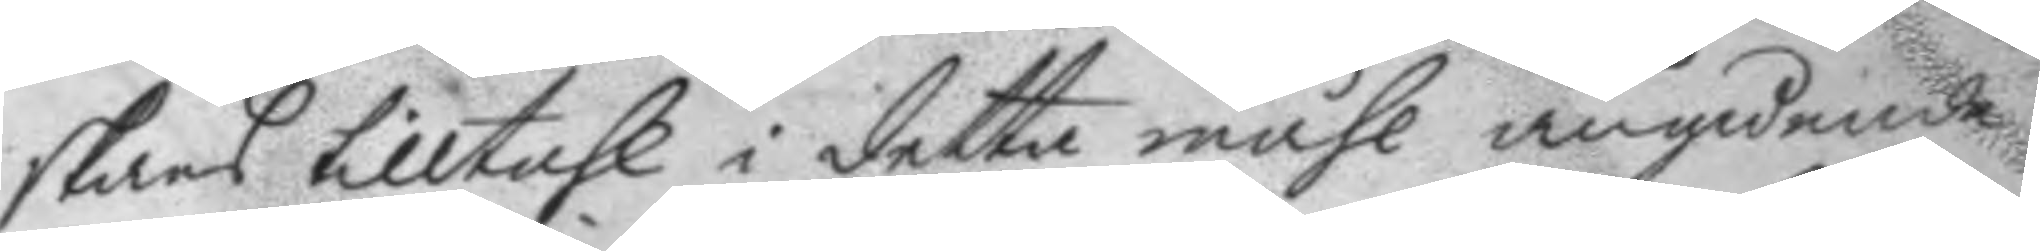skans tilltahl i detta måhl angående
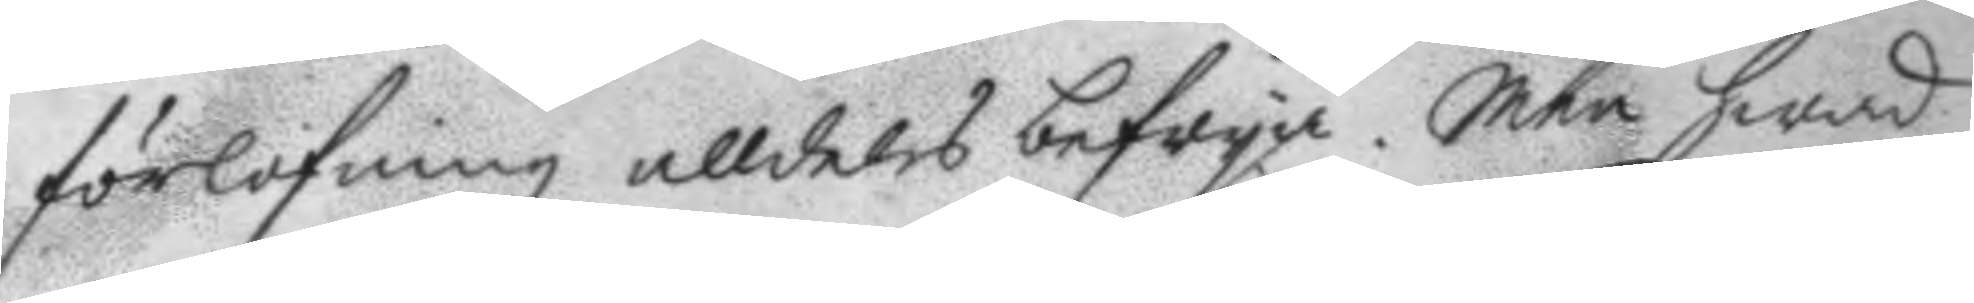förlofning alldeles befrya. Men hwad
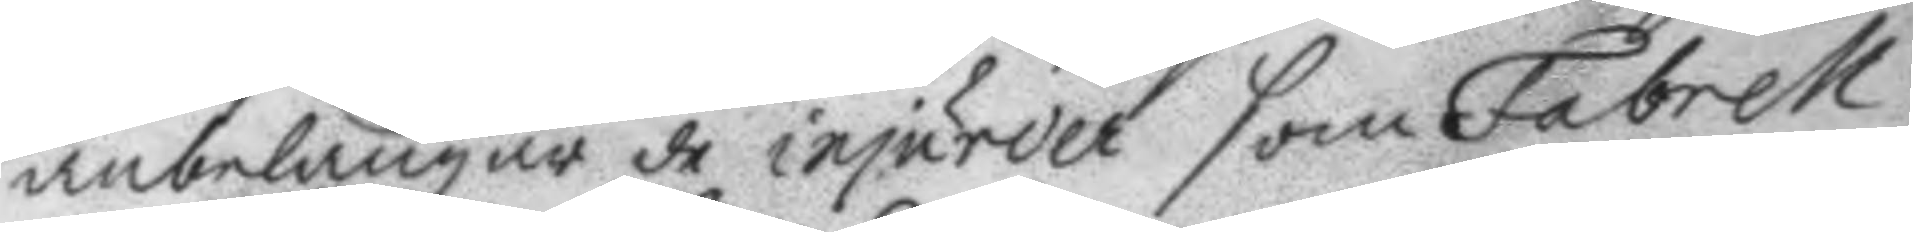anbelangar de injurier som Fabrell
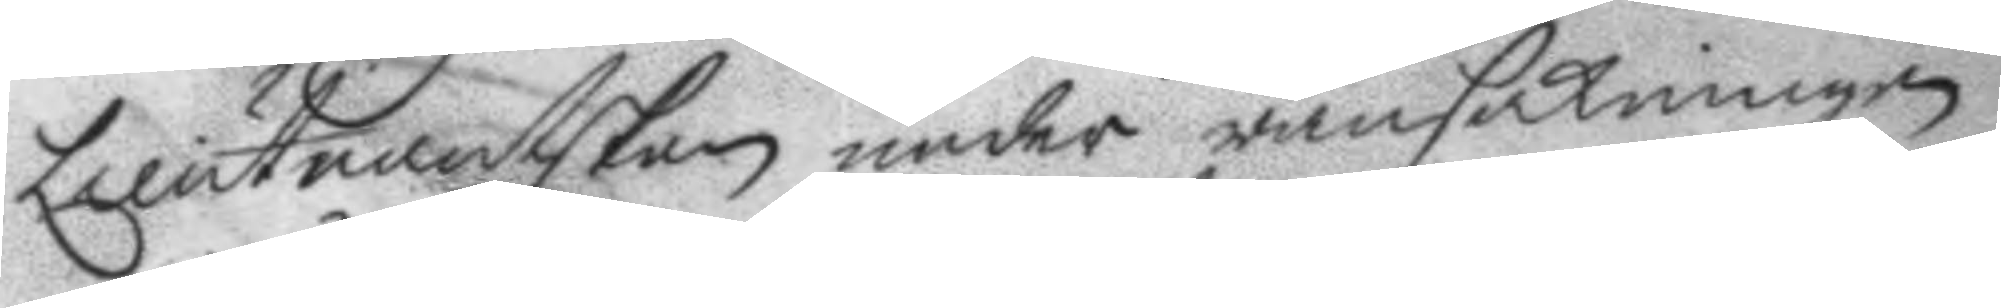Lieutnantskan under ransakningen
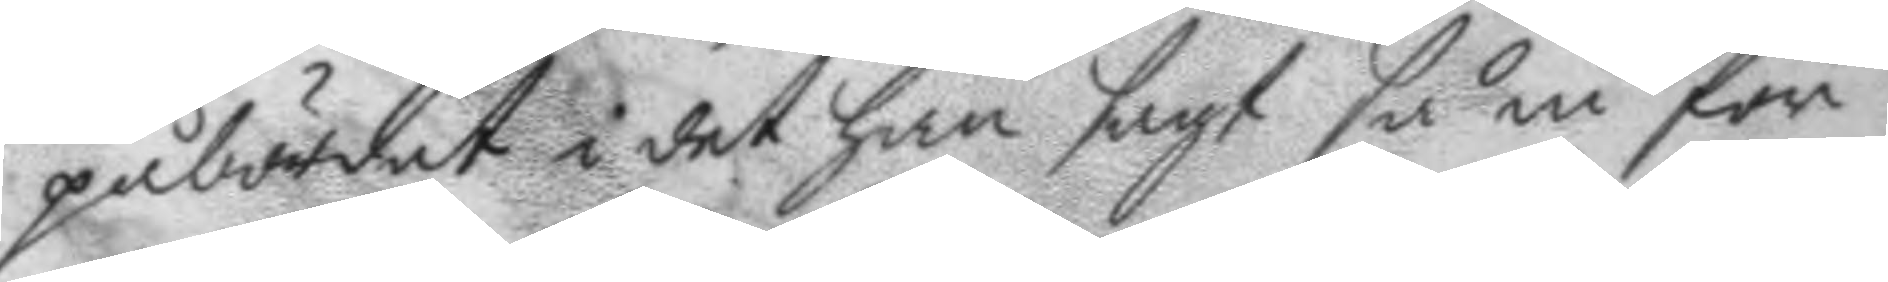påbördat i det han sagt så in för
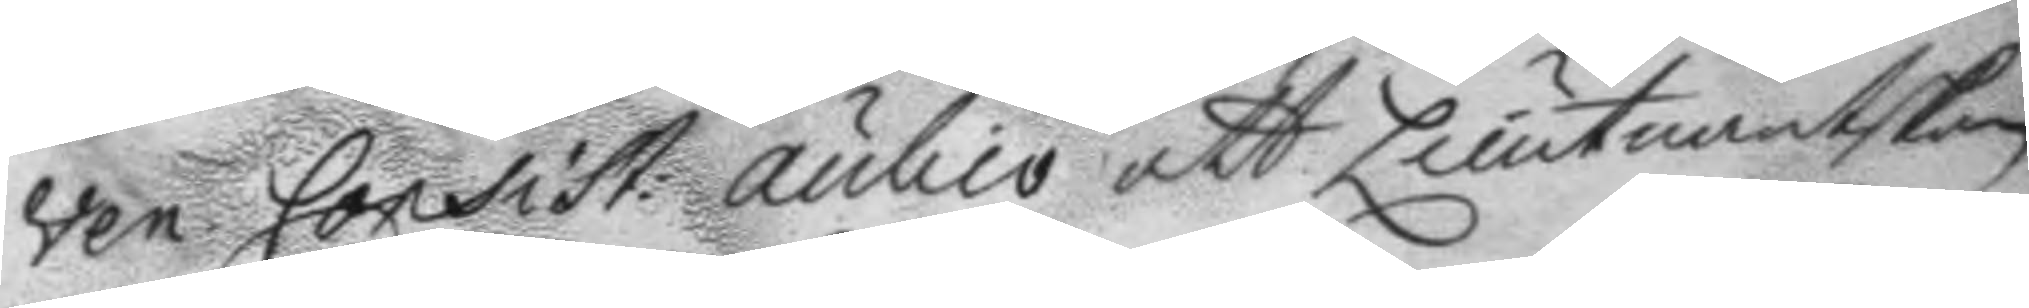ven. Consist. audio att Lieutnantskan
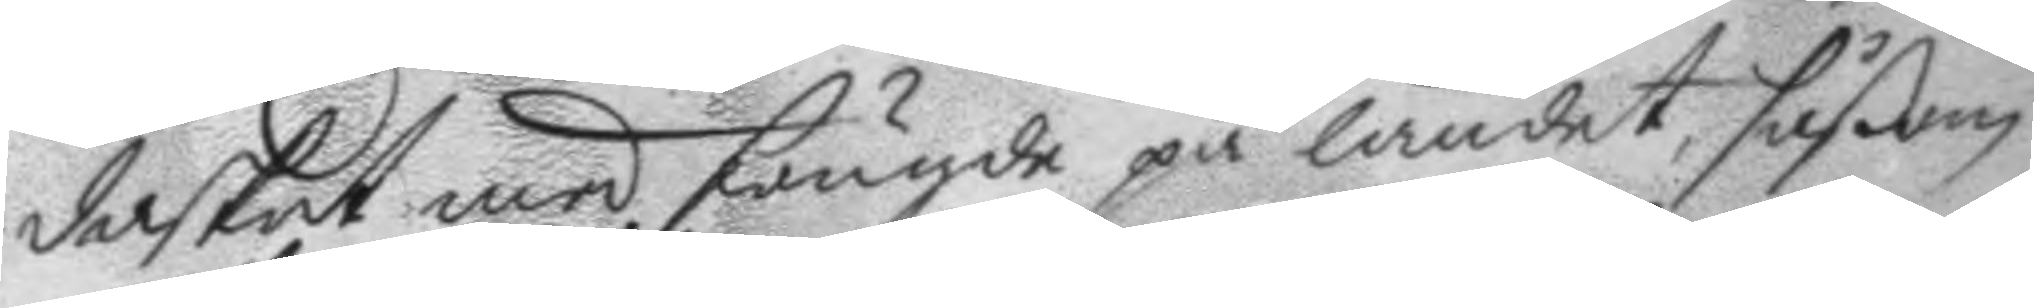daskat med fougde på landet, såßom
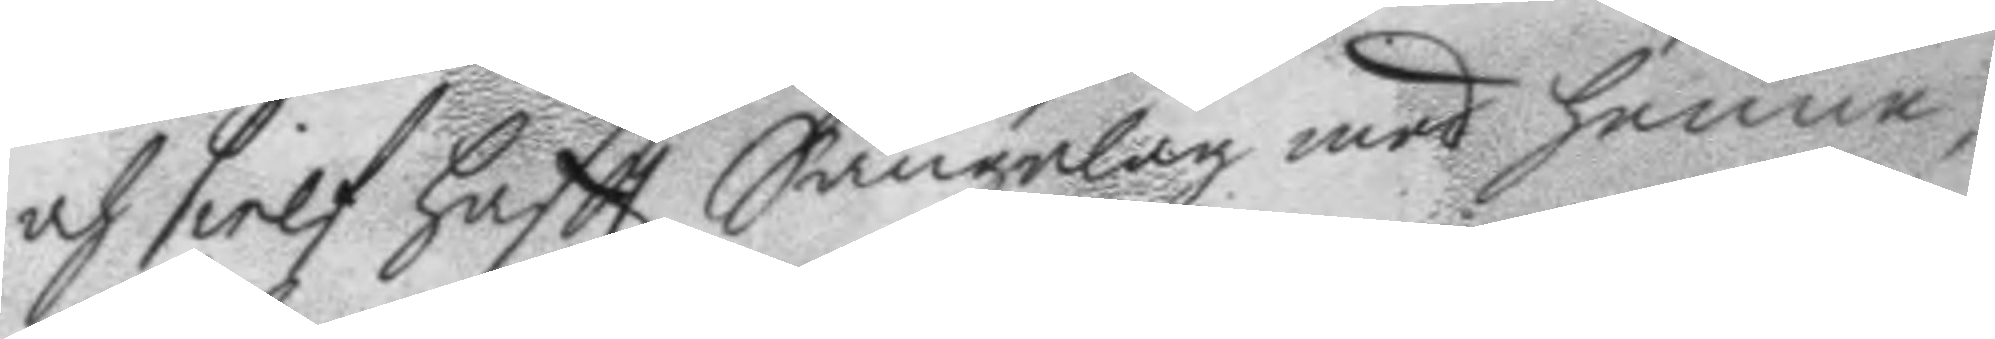och sielf haftt Sängelag med henne,
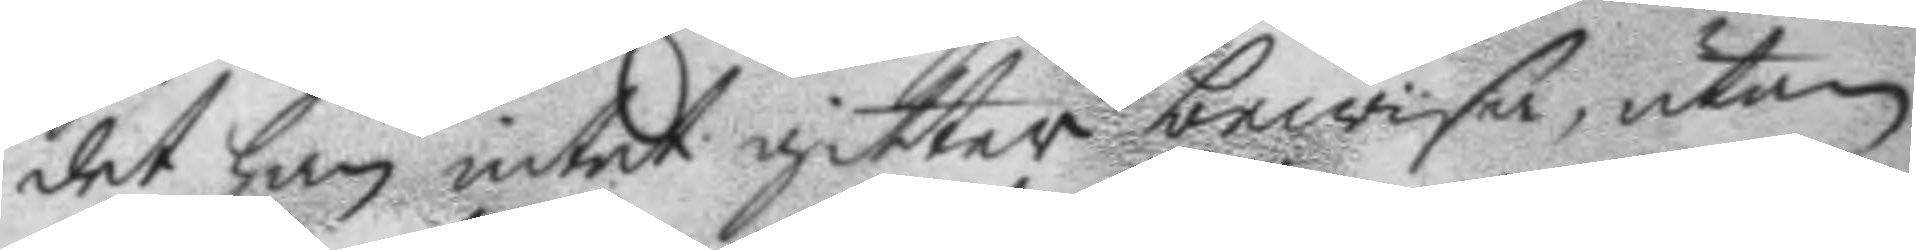det han intet gitter bewisa, utan
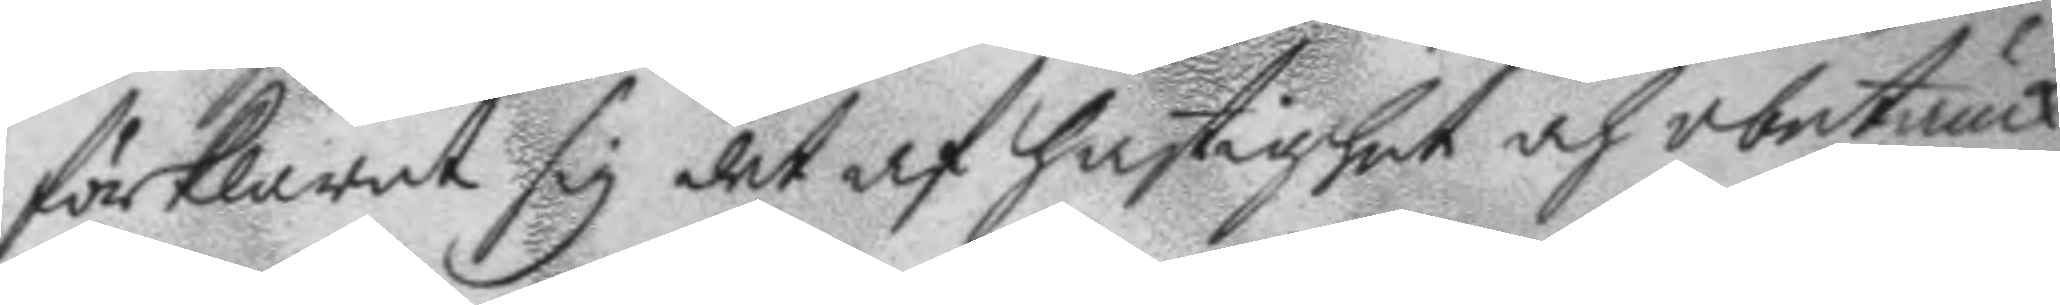förklarat sig det af hastighet och obetänk¬
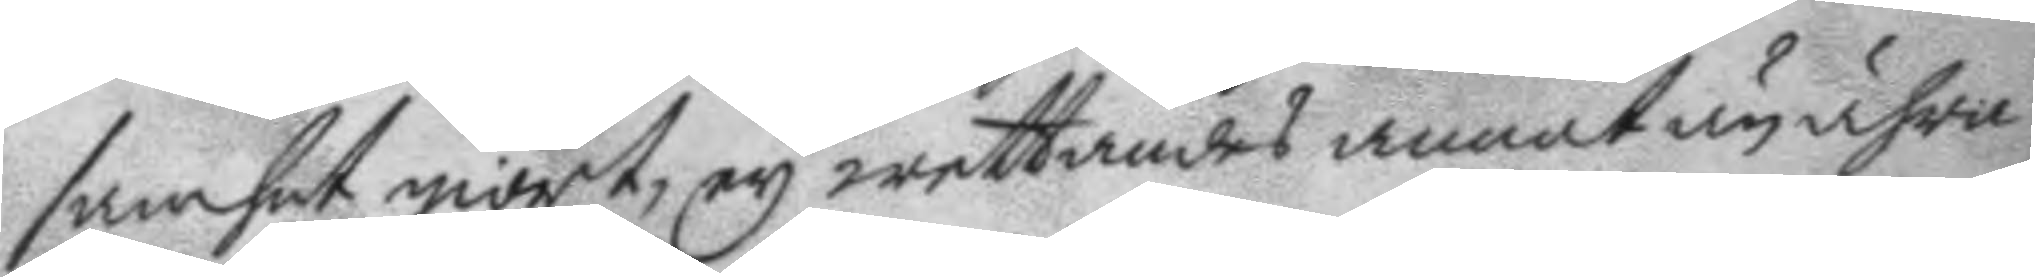samhet giort, ey wettandes annat än ähra
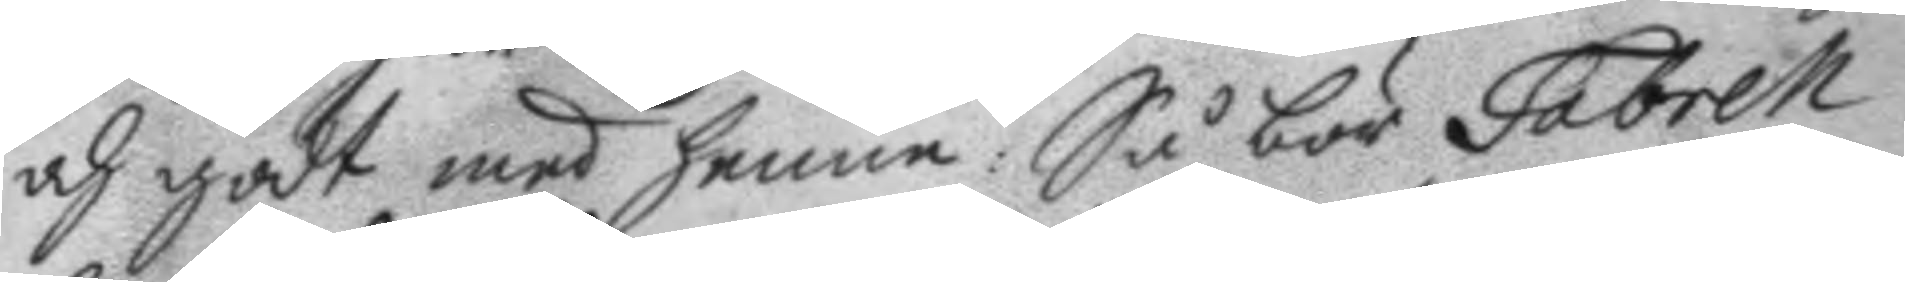och godt med henne: Så bör Fabrell
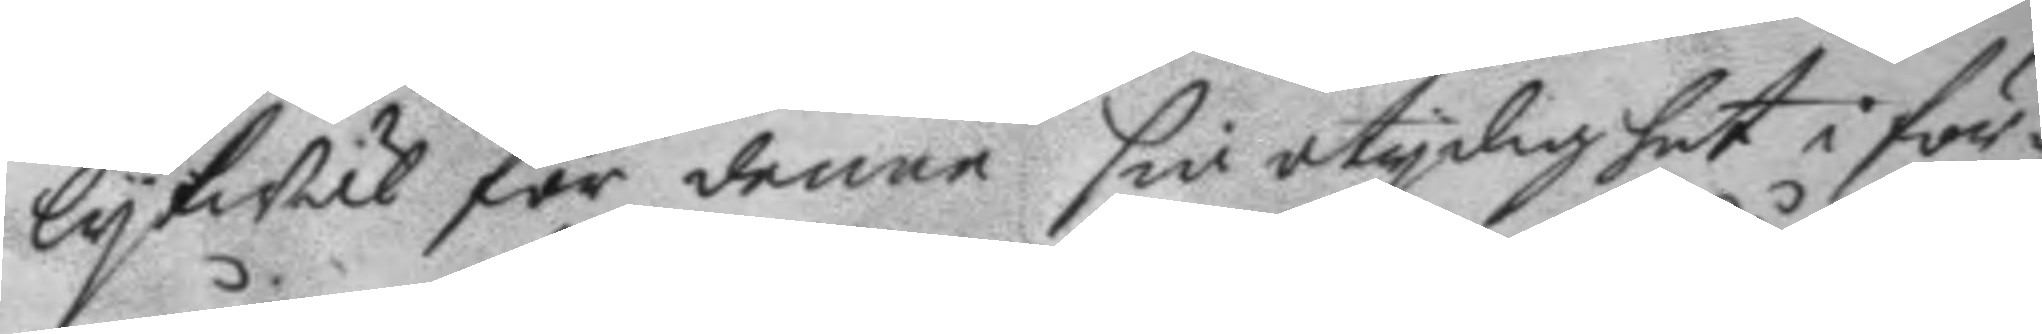lykwäl för denne sin otydighet i för¬
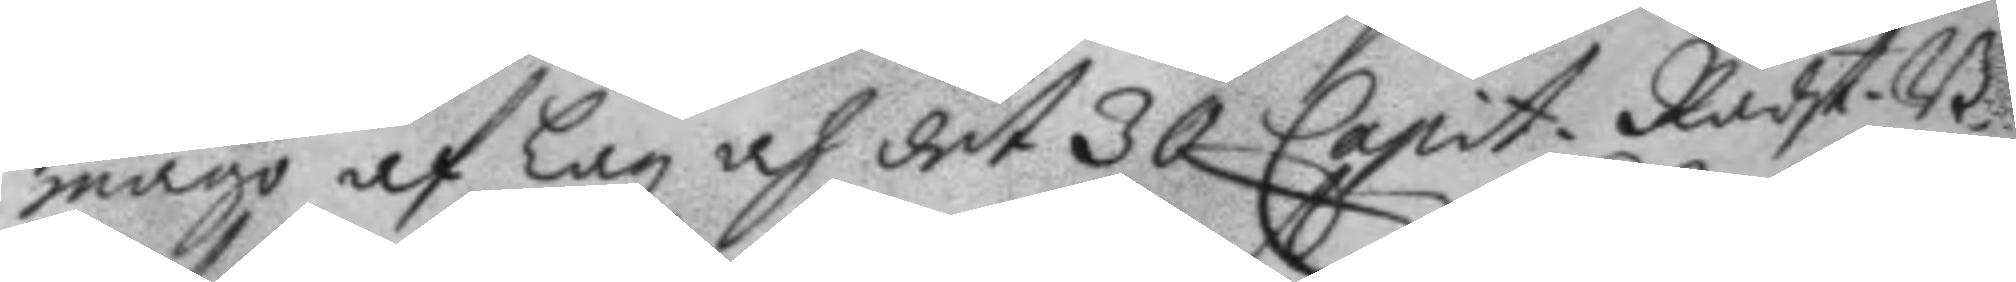mågo af Lag och det 30 Capit. Rådst. B.
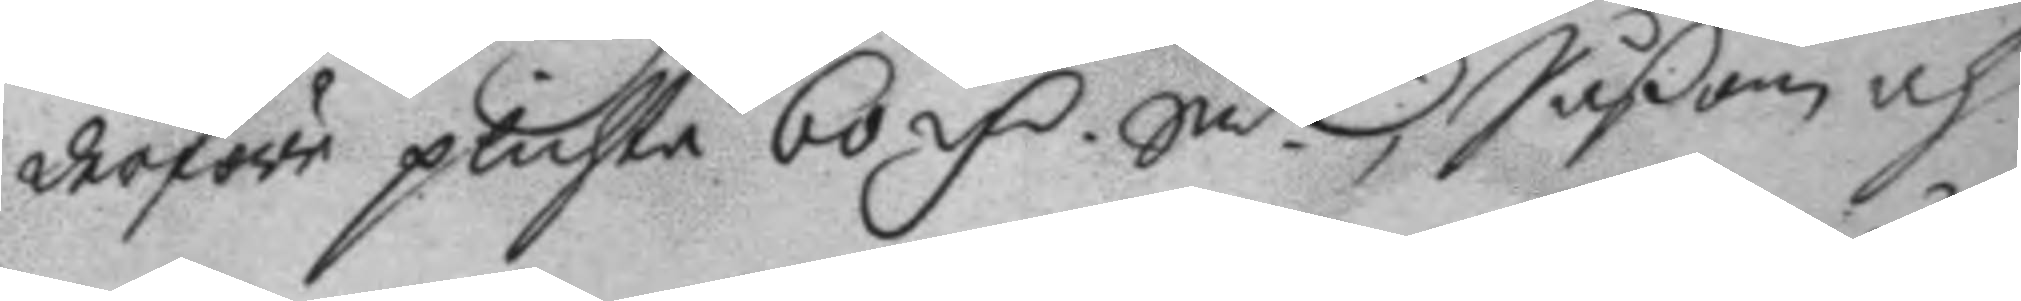derföre plichta 60 mC Smt, Såßom och
